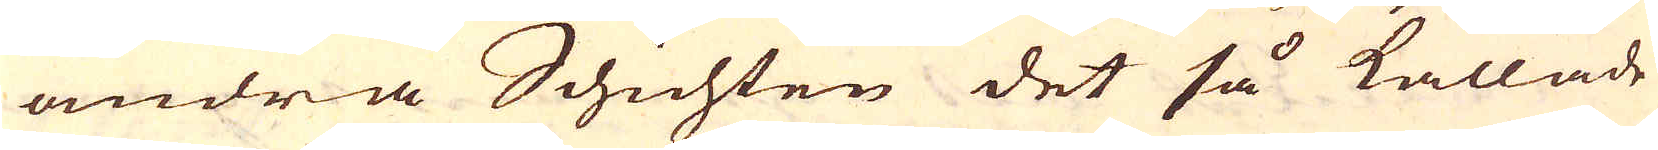andra Schichten det så kallade
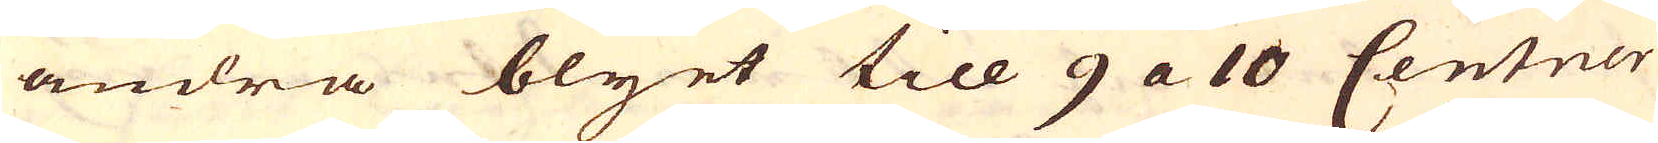andra blyet till 9 a 10 Centner
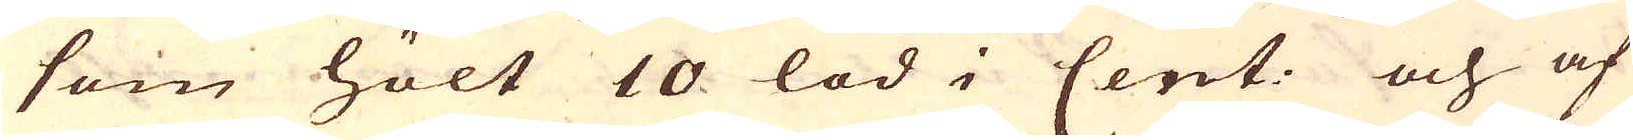som hölt 10 lod i Cent: och af
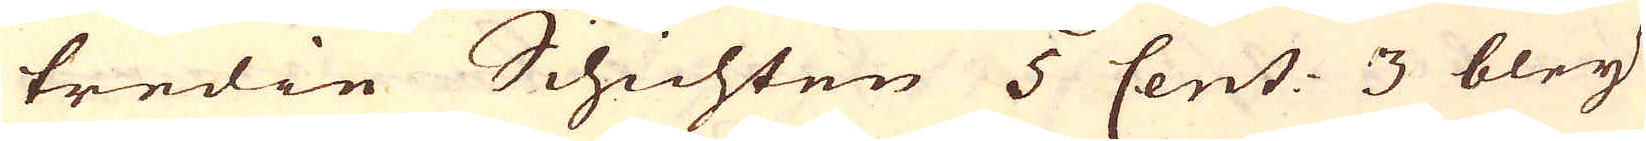tredie Schichten 5 Cent: 3 bley
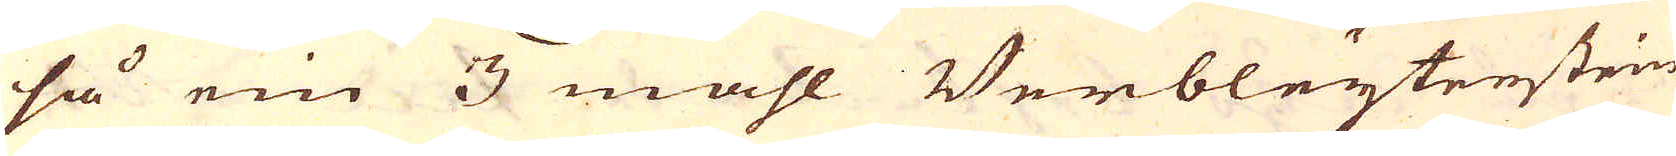så ein 3 mahl Verbleytenstein
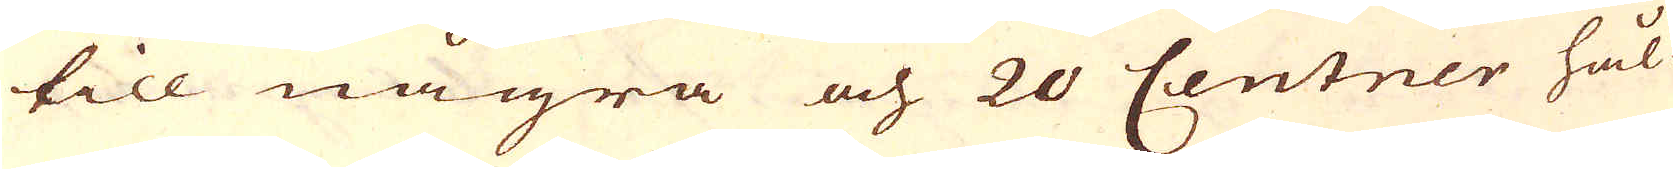till några och 20 Centner hål-
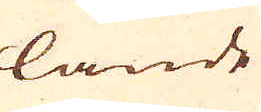lande
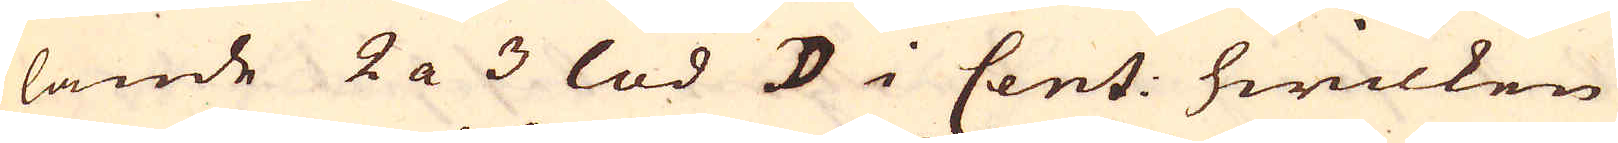lande 2 a 3 lod ☽ i Cent: hwilken
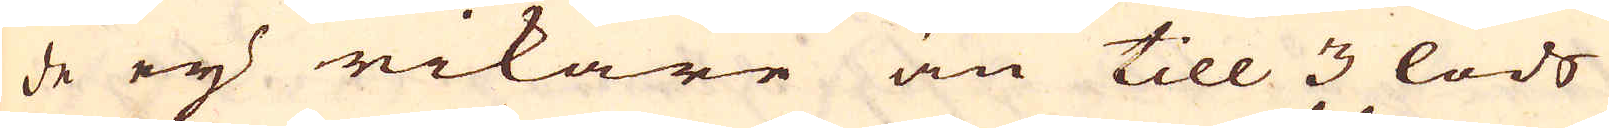de ey rikare än till 3 lods
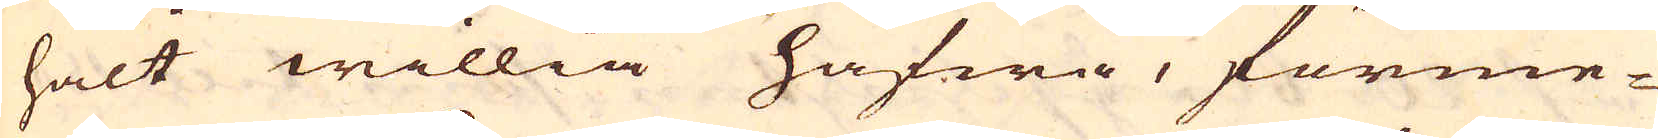halt willia hafwa, förme-
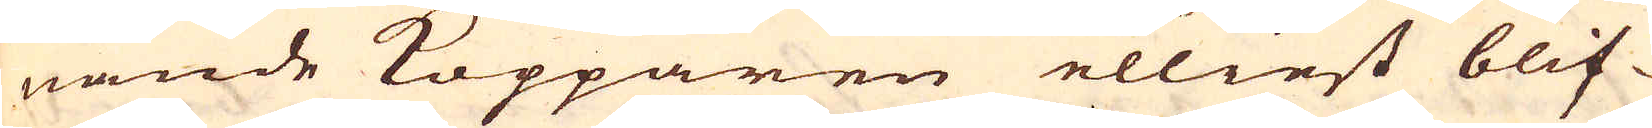nande Kopparen elliest blif-
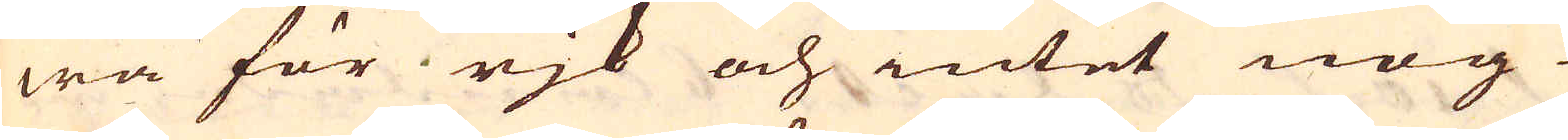wa för rjk och intet nog
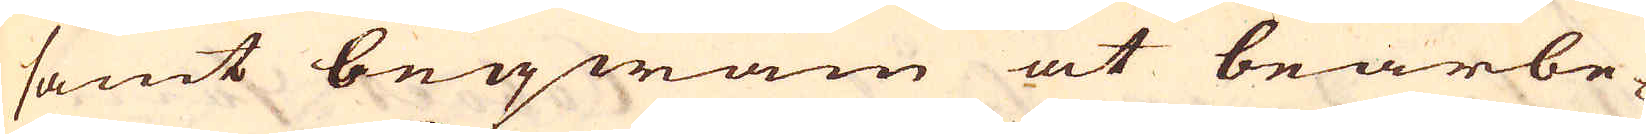samt beqwäm at bearbe-
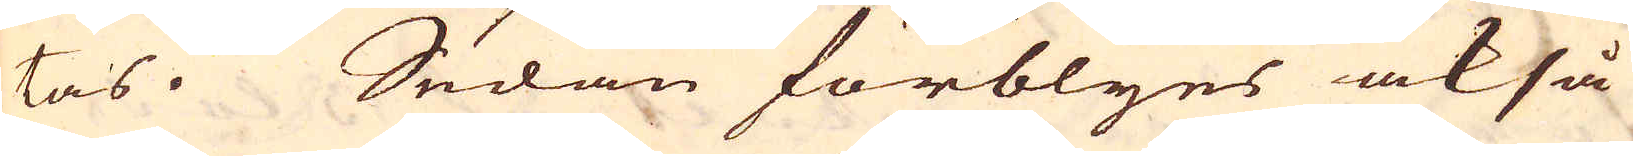tas. Sedan förblyes också
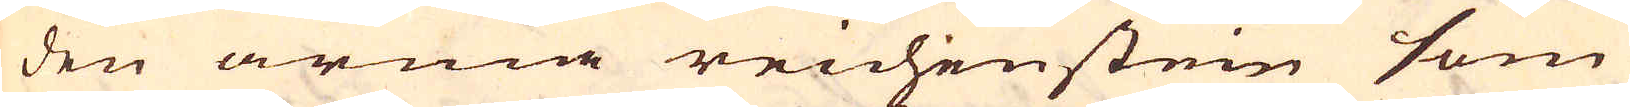den arma reichenstein som
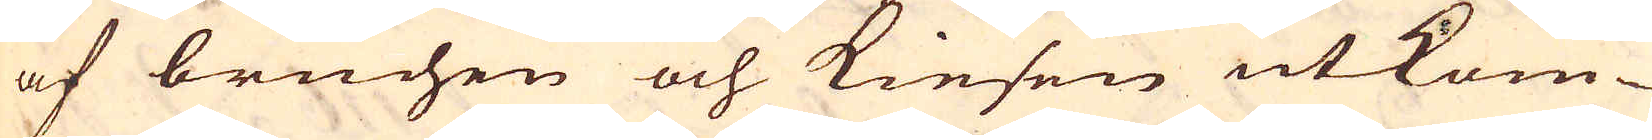af bruchen och kiesen utkom-
